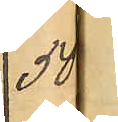50
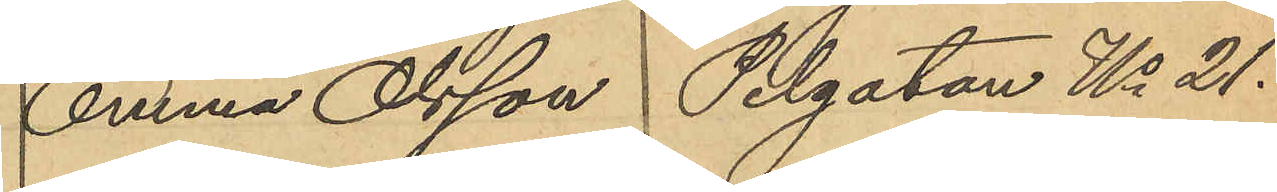Emma Olsson Pilgatan No 21.
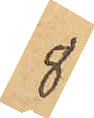8
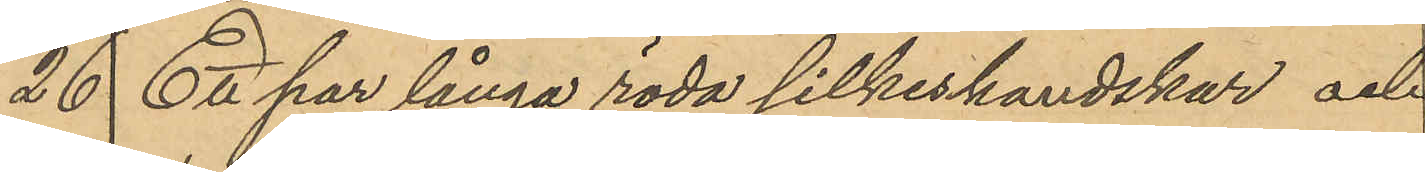26  Ett par långa röda silkeshandskar och
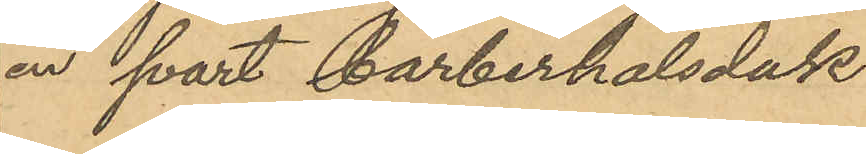en svart barberhalsduk
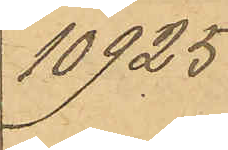10925
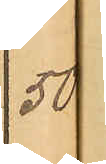50
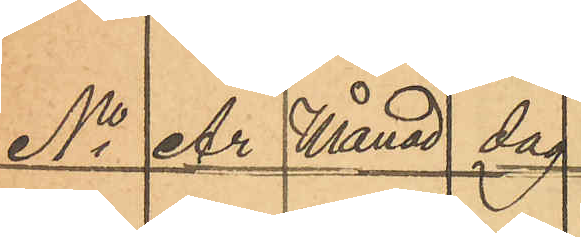No År Månad dag
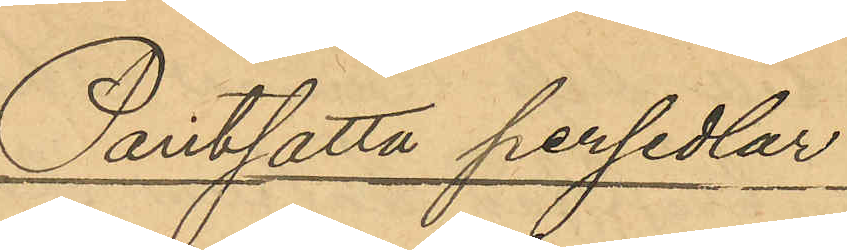Pantsatta persedlar
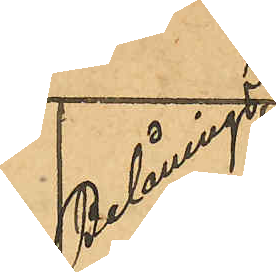Belånings
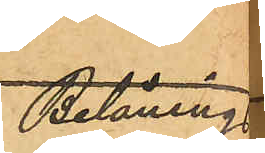Belånings
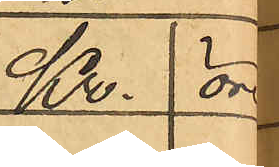Kr  öre
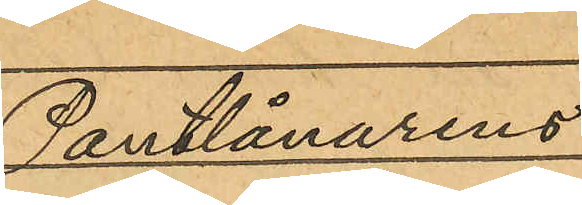Pantlånarens
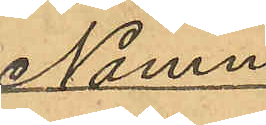Namn
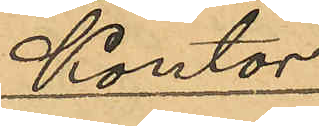Kontor
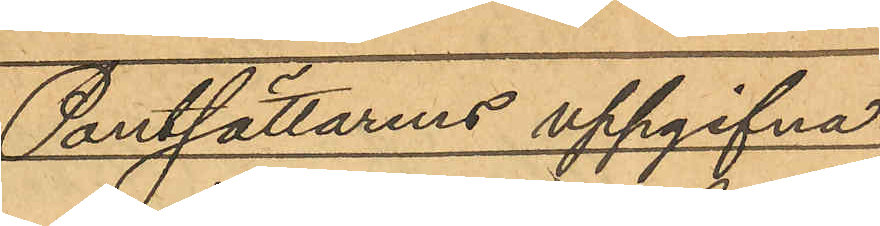Pantsättarens uppgifvna
